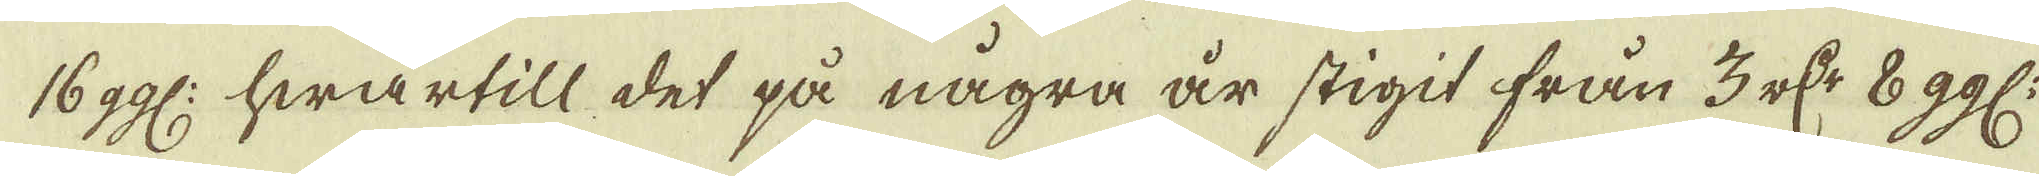16 ggl: hwartill det på några är stigit från 3 r:dr 8 ggl.
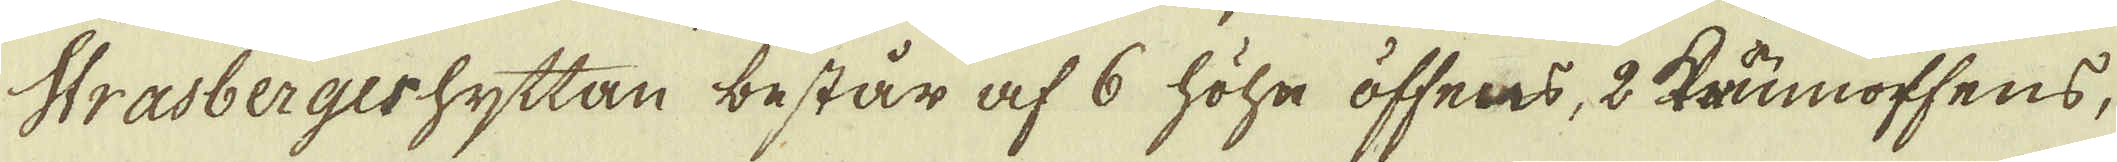Strasbergeshyttan består af 6 höhe öffnes, 2 krumoffens,
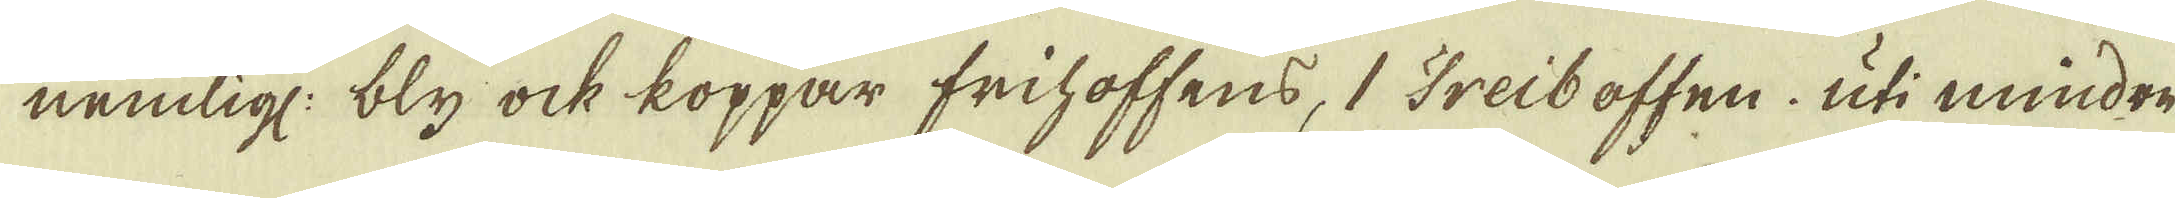nemlig: bly ock koppar frihoffens, 1 Treiboffen, uti mindre
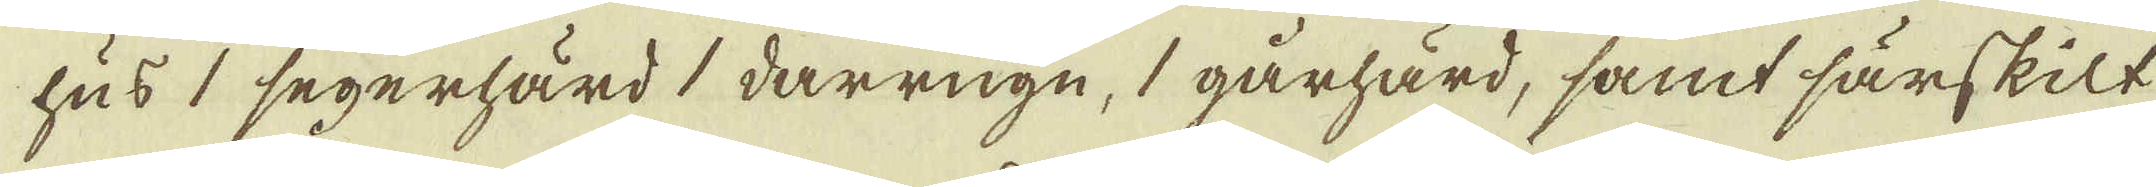hus 1 segerhärd 1 darrugn, 1 gårhärd, samt särskilt
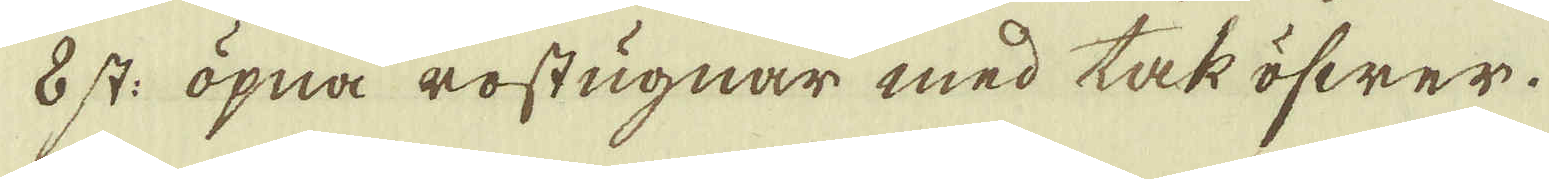8 st: öpna rostugnar med tak öfwer.
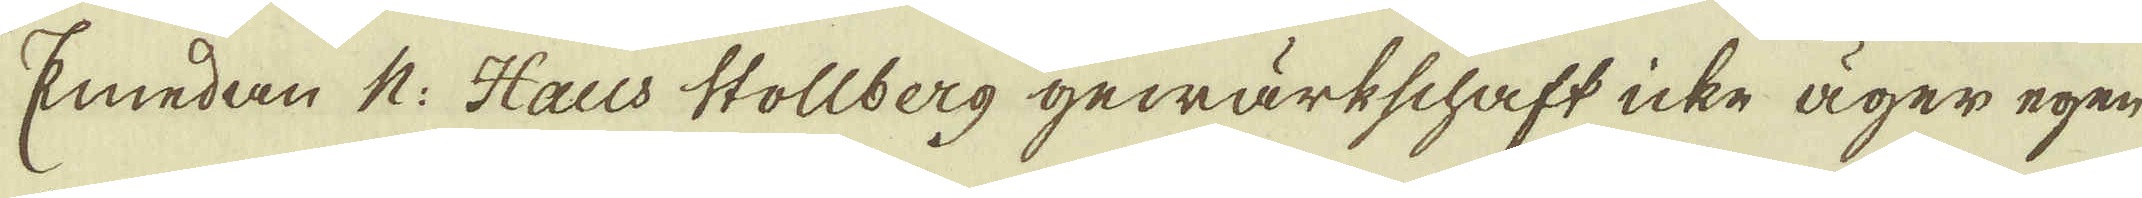Emedan N. Haus Stollberg gewärkschaft icke äger egen
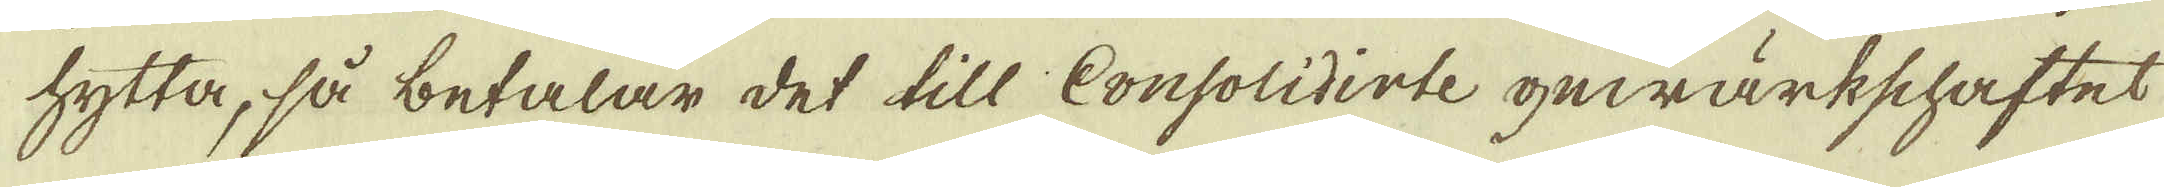hytta, så betalar det till Consolidirte gewärkschaftet
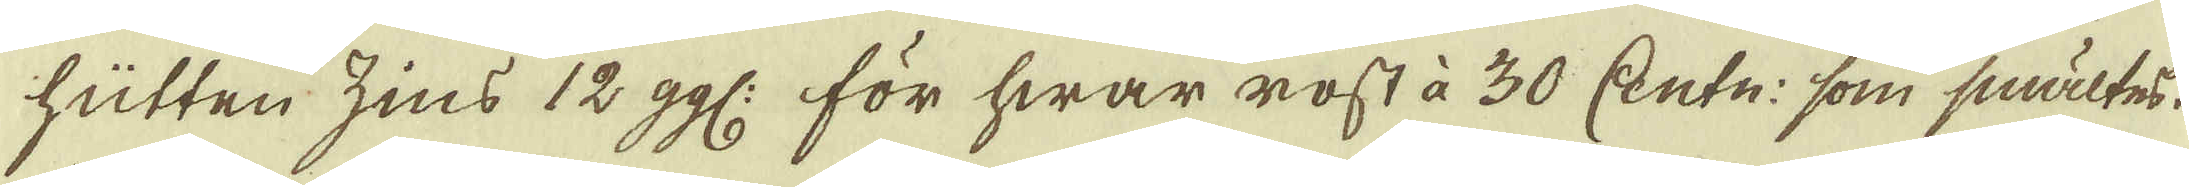hütten zins 12 ggl: för hwar rost à 30 Centn: som smältes.
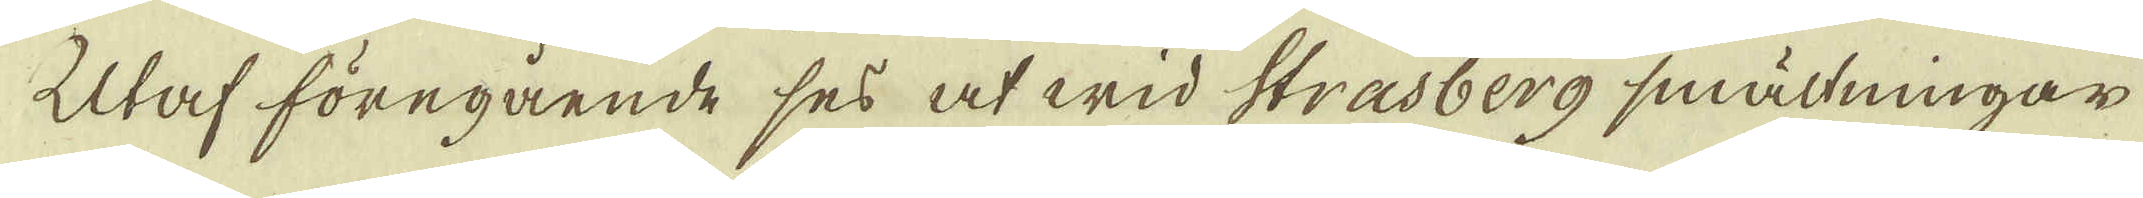Utaf föregående ses at wid Strasberg smältningar
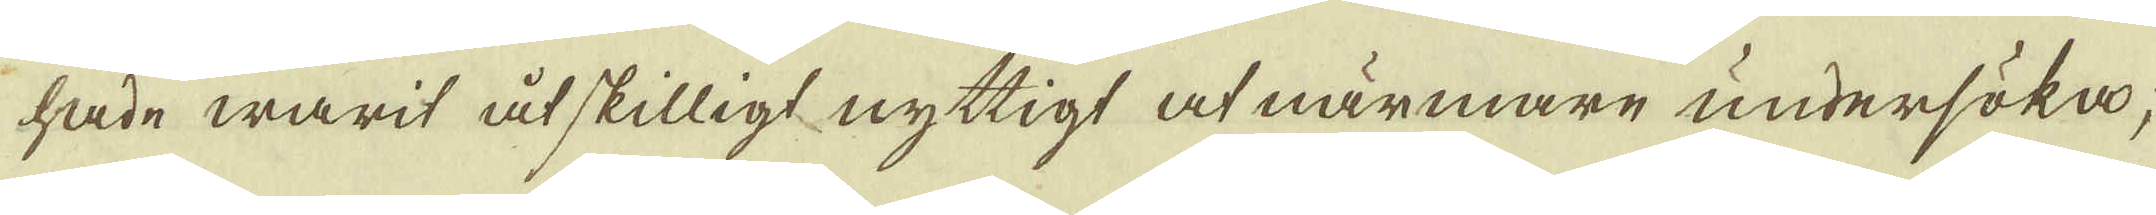hade warit åtskilligt nyttigt at närmare undersöka;
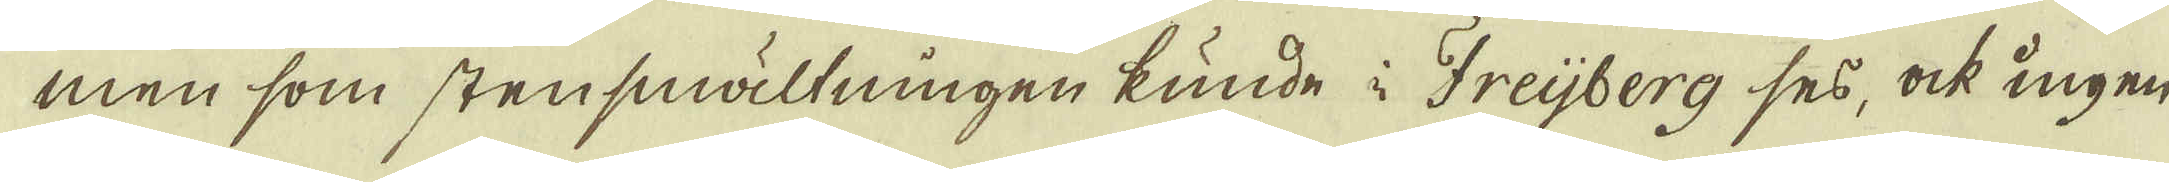men som stensmältningen kunde i Freijberg ses, ock ingen
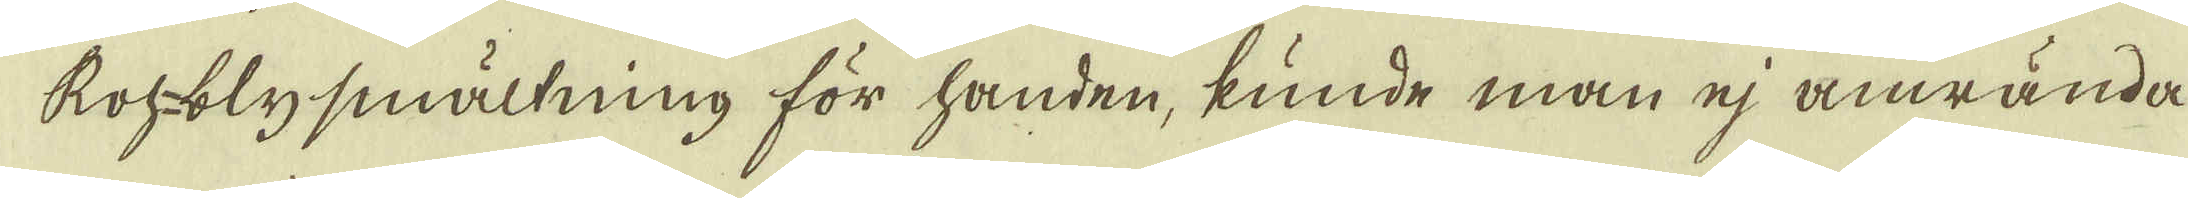Roh-blysmältning för handen, kunde man ej anwända
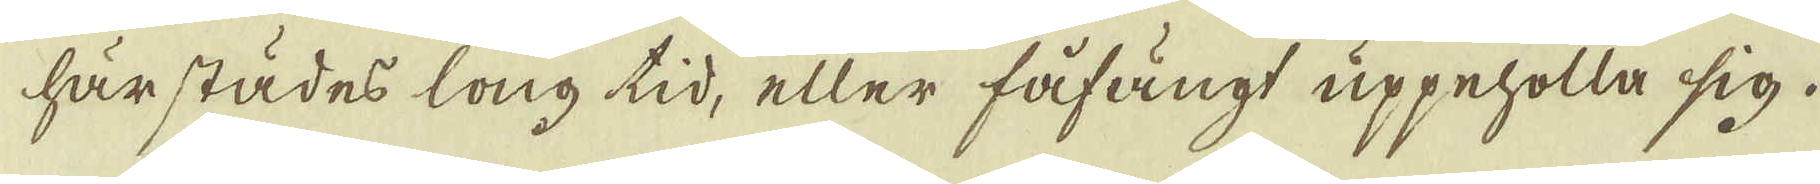härstädes long tid, eller fåfängt uppeholla sig.
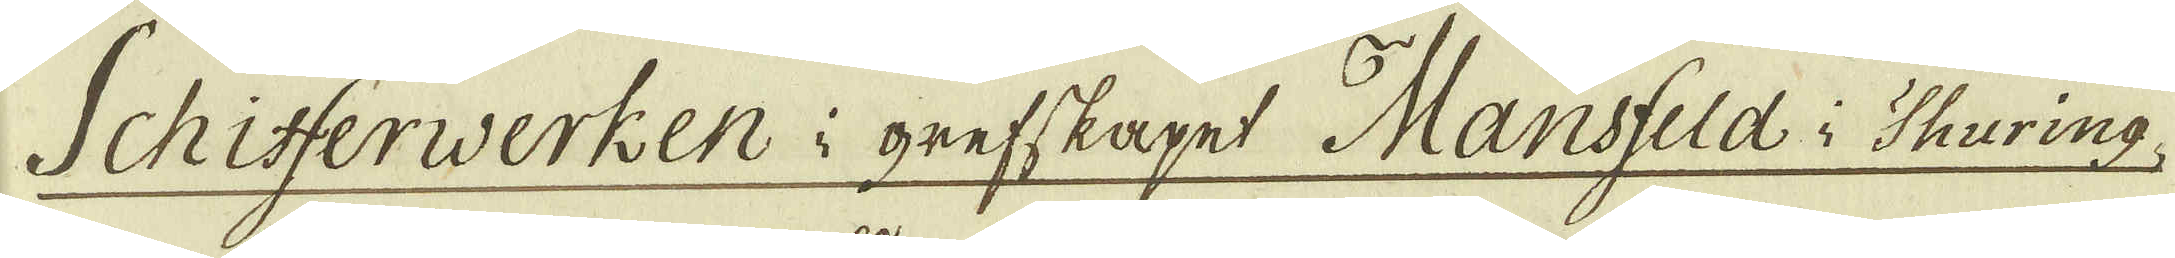Schifferwerken i grefskapet Mansfeld i Thuring-
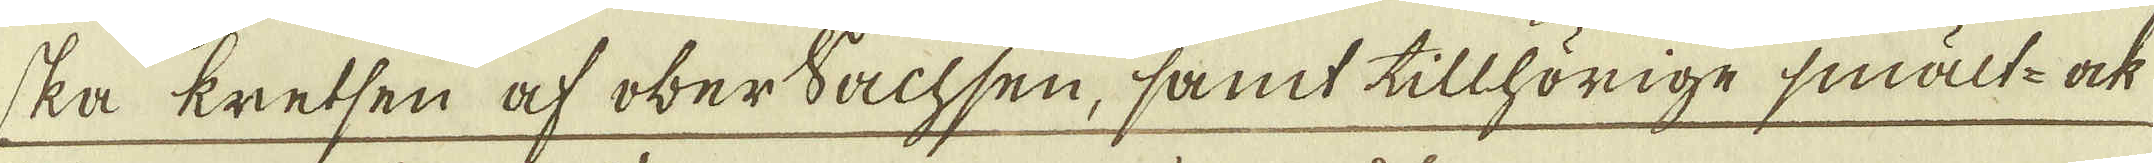ska kretsen af oberSachsen, samt tillhörige smält- ock
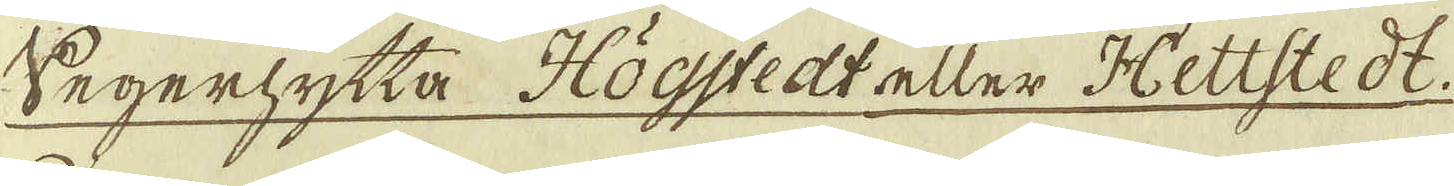Segerhytta Högstedt aller Hettstedt.
